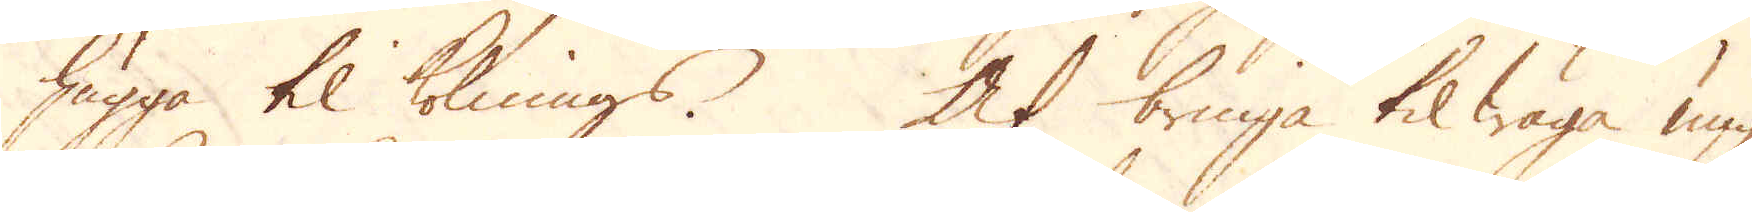hugga til kolnings. At bringa til wäga ung
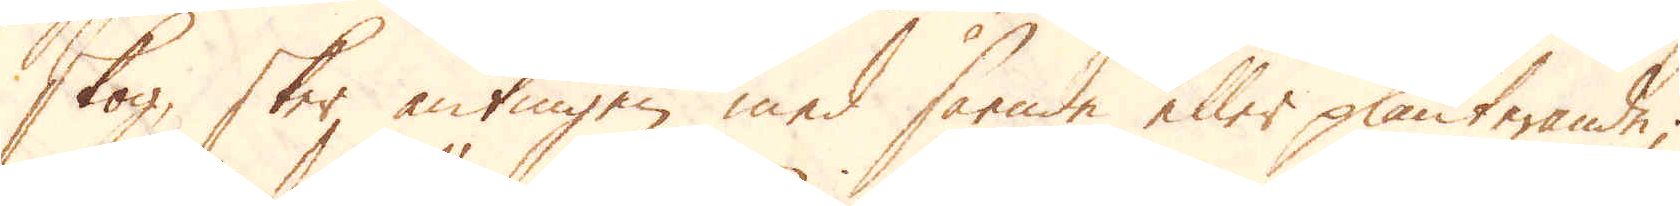skog, sker antingen med sående eller planterande;
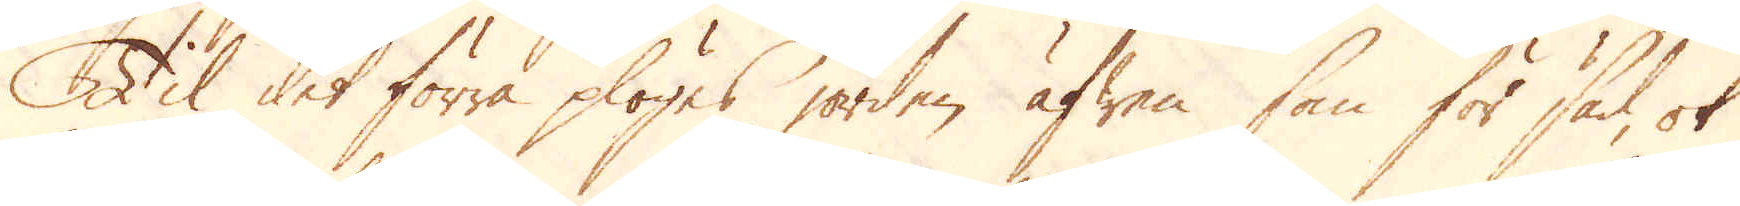Til det förra plögas jorden äfwen som för säd, ok
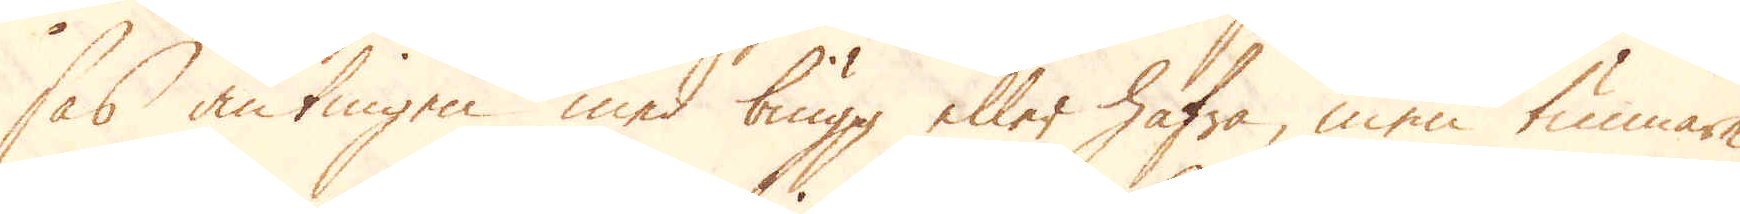sås antingen med biugg eller hafra, men tunnare 
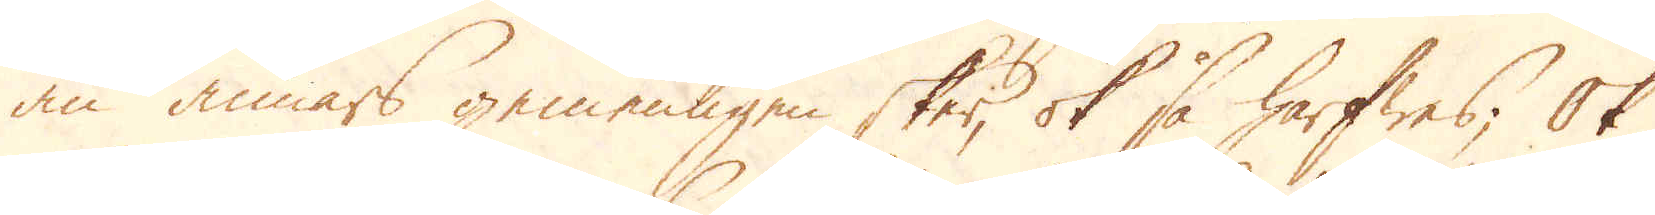än annars gemenligen sker, ok så harfwas; Ok
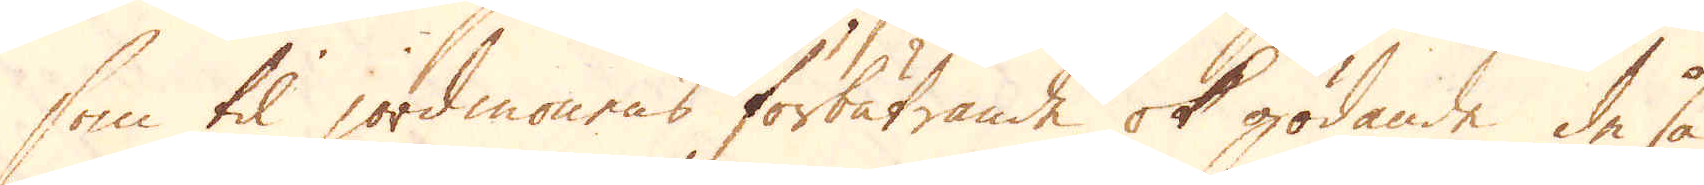som til jordmonens förbätrande ok gödande de så
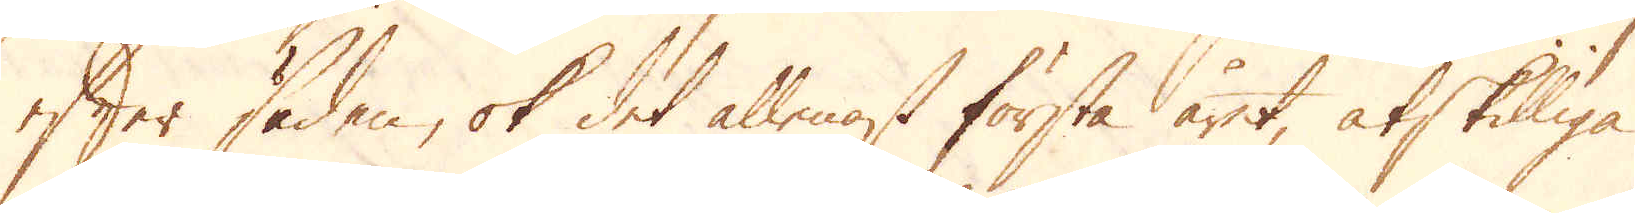efter säden, ok det allenast första året, åtskilliga
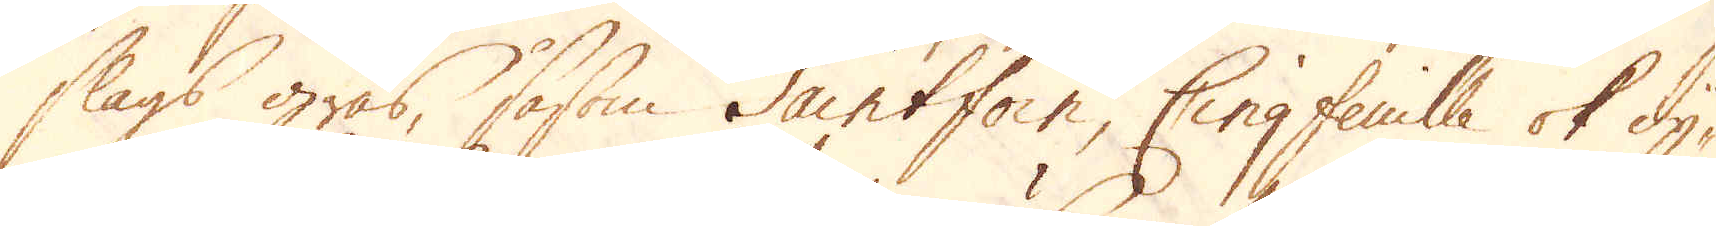slags gräs, såsom Saintfoir, Cinqfeuille ok dy-
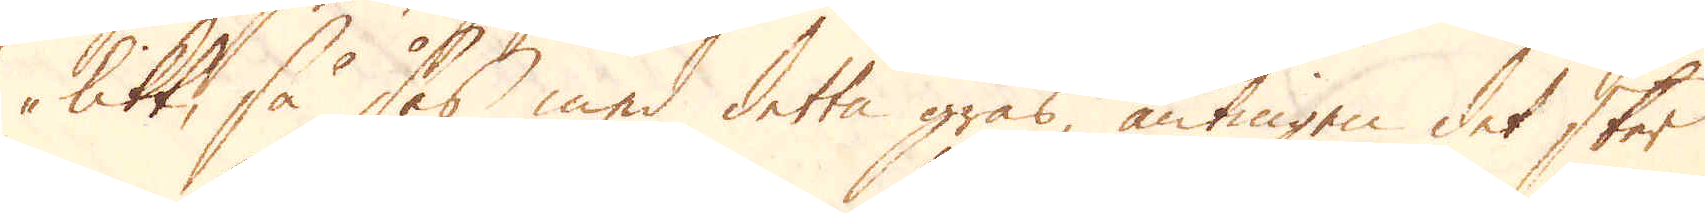likt, så sås med detta gräs, antingen det sker
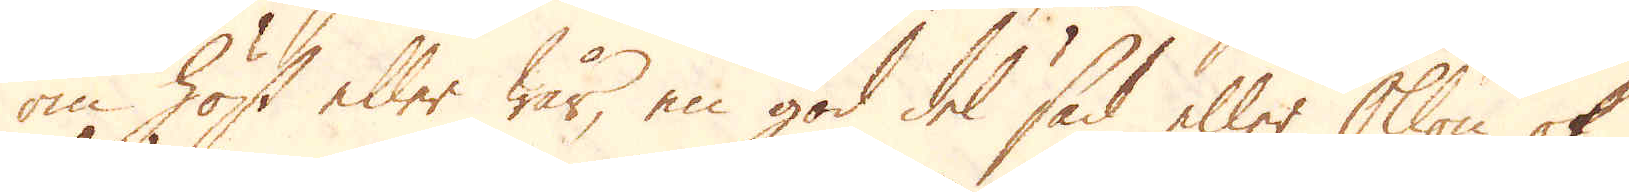om höst eller wår, en god del säd eller Ollon ok
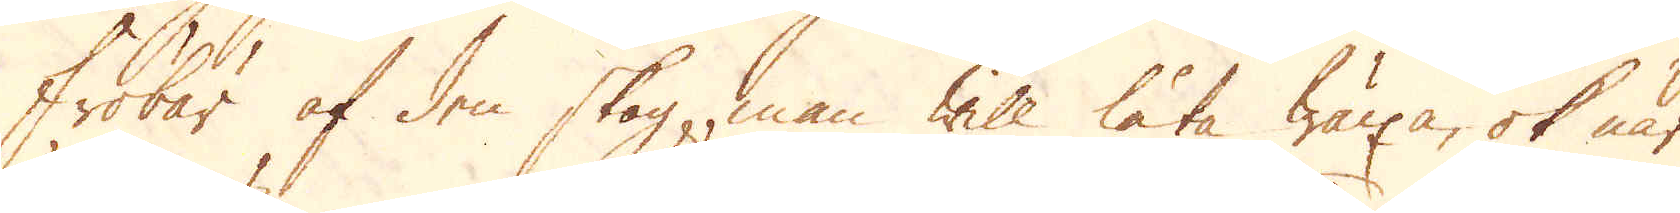Fröbär af den skog, man will låta wäxa, ok när
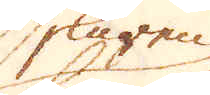skuren
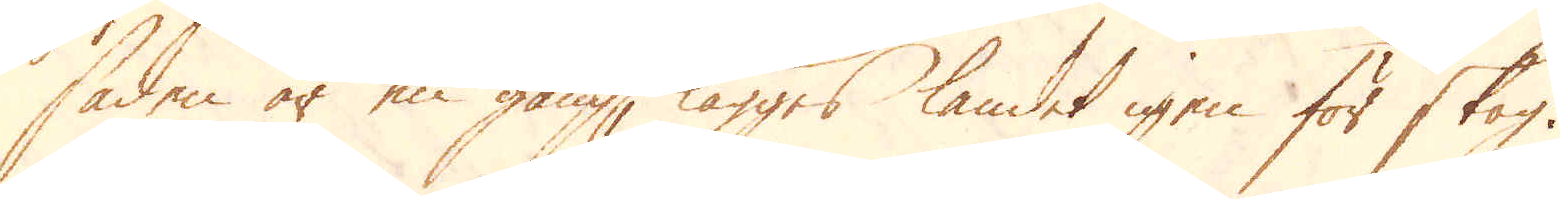säden är en gång, lägges landet igen för skog.
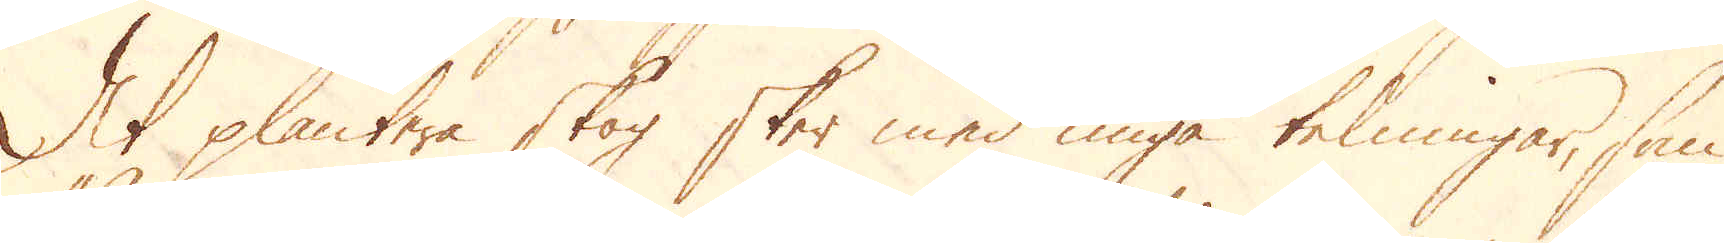At plantera skog sker med unga telningar, som
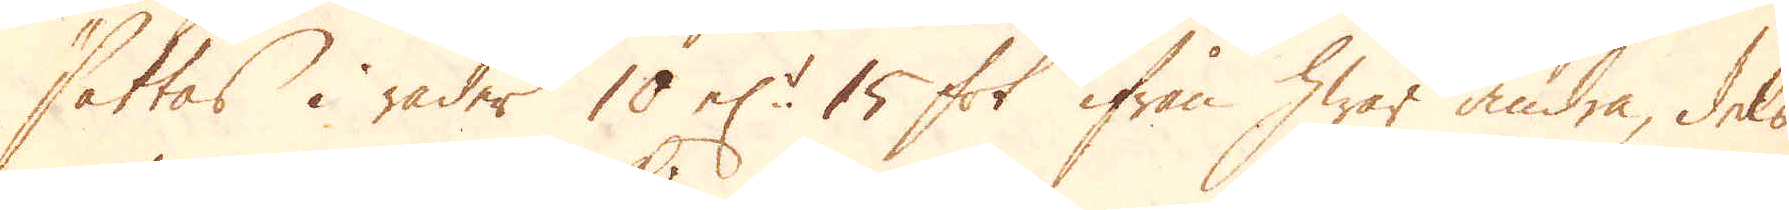sättas i rader 10 el:r 15 fot ifrån hwar andra, dels
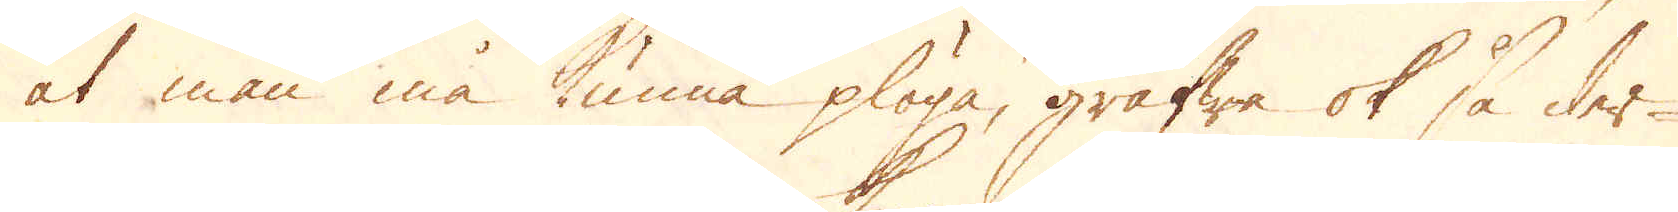at man må kunna plöga, gräfwa ok så der-
